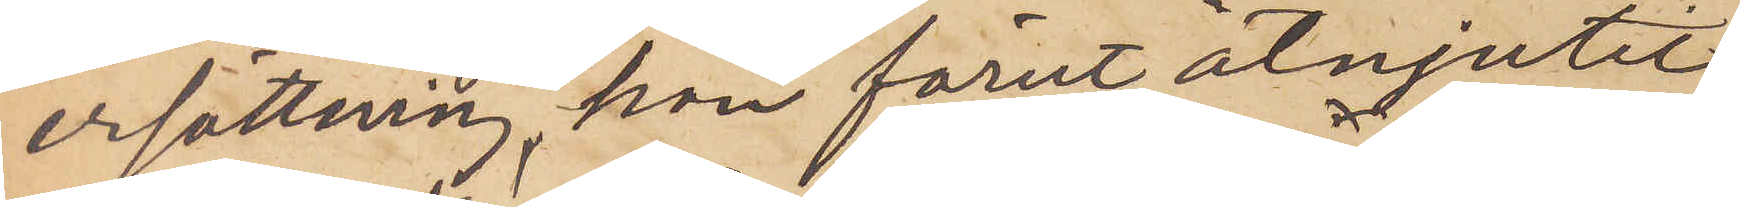ersättning, han förut åtnjutit
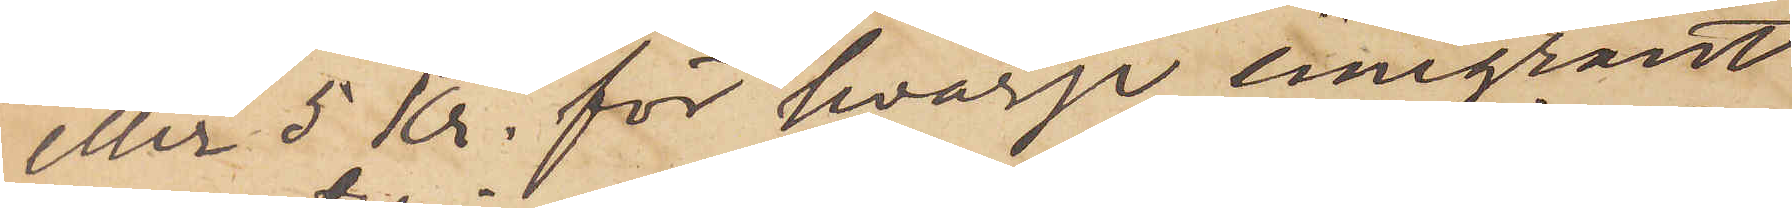eller 5 kr. för hvarje emigrant
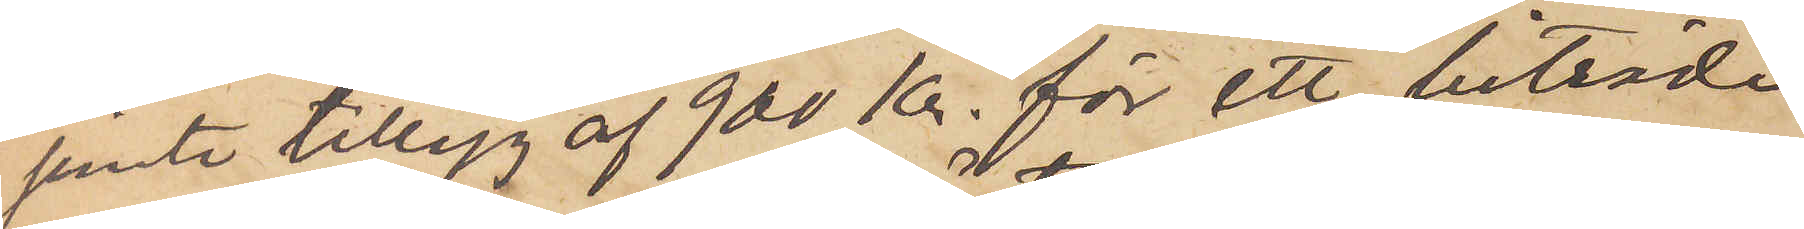jemte tillägg af 900 kr. för ett biträde
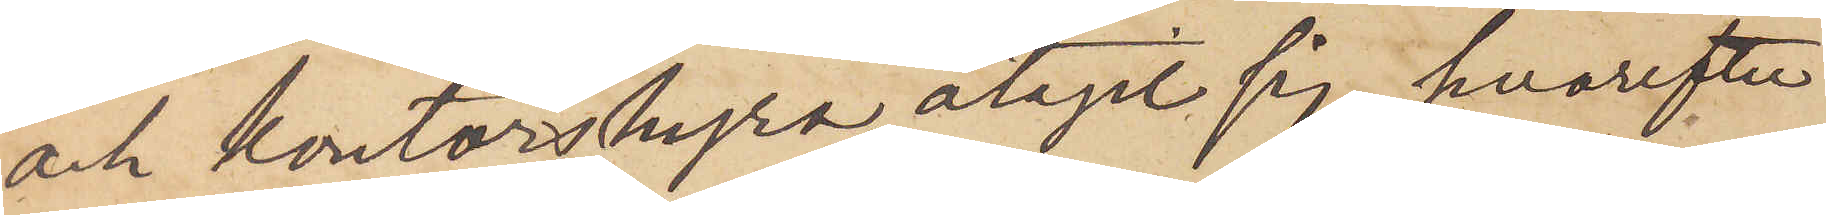och kontorshyra, åtagit sig, hvarefter
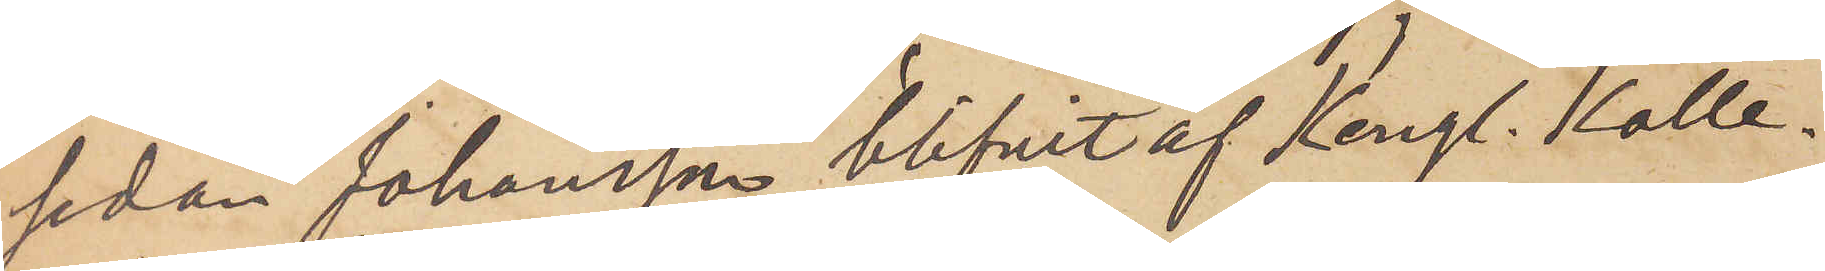sedan Johansson blifvit af Kongl. Kolle¬
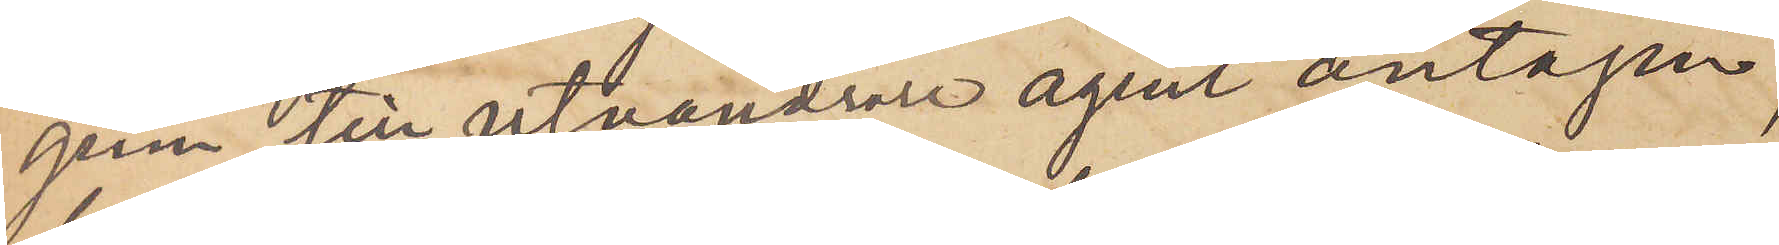gium till utvandrare agent antagen,
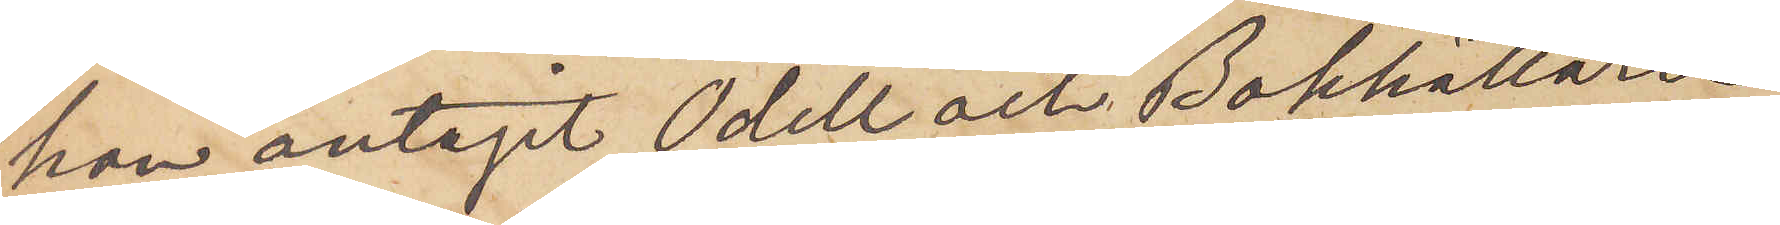han antagit Odell och Bokhållaren
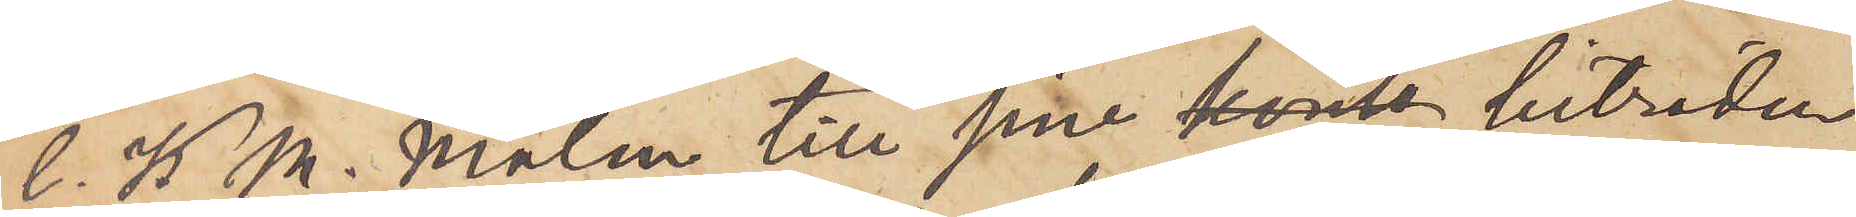C. K. M. Malm till sine konto biträden
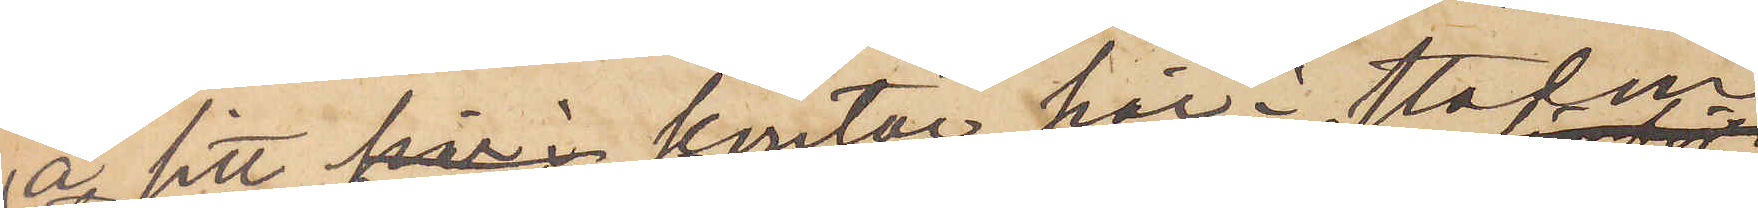å sitt här i kontor här i staden
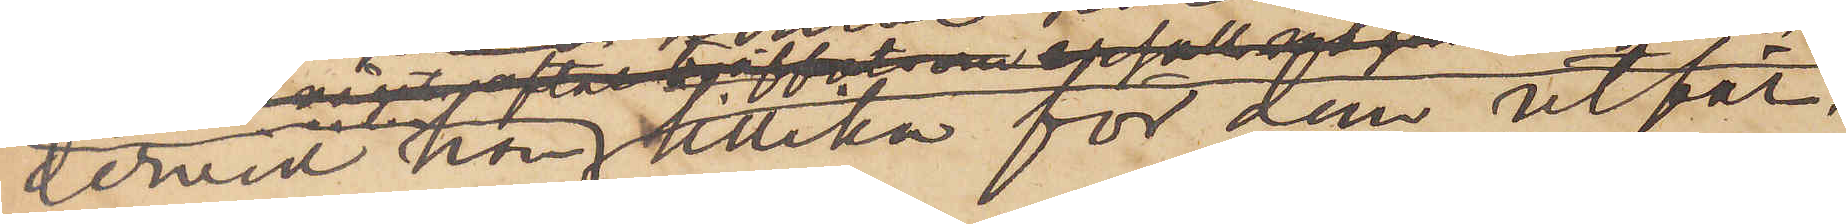dervid han tillika för dem utför
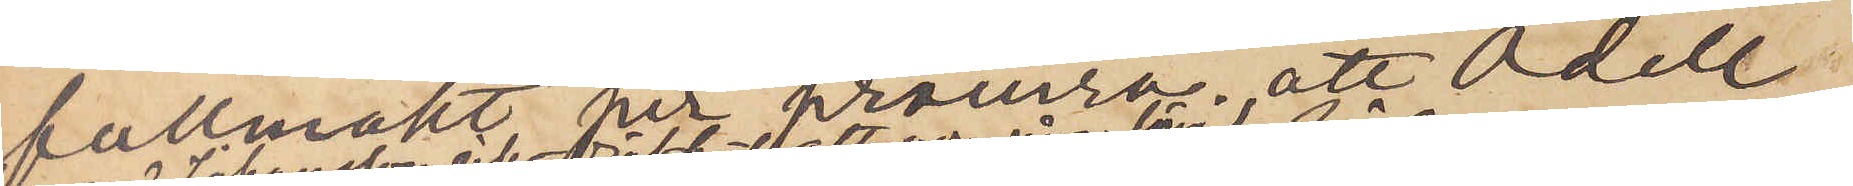fullmakt per provisa, att Odell
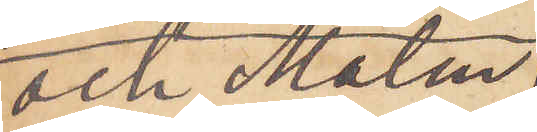och Malm
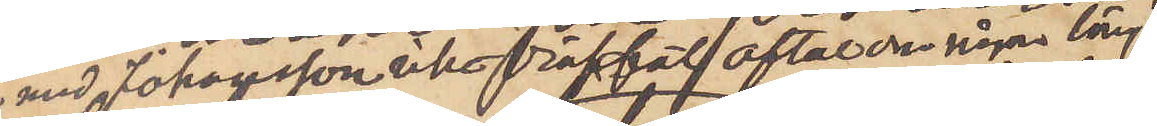med Johansson icke träffat aftal om någon lärj
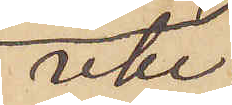icke
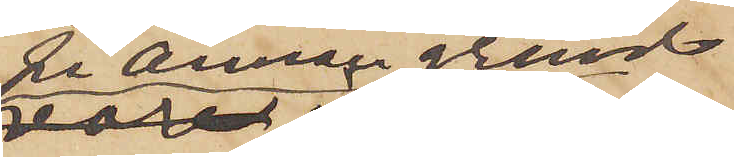på annan grund
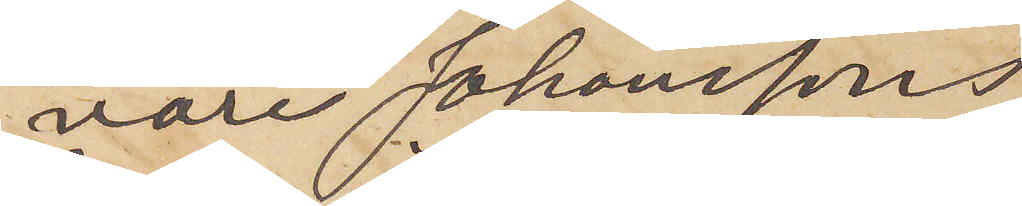vore Johanssons
